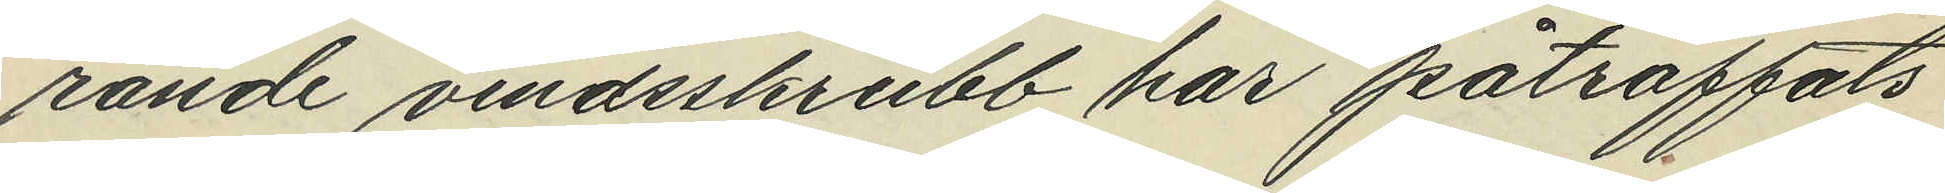rande vindsskrubb har påträffats
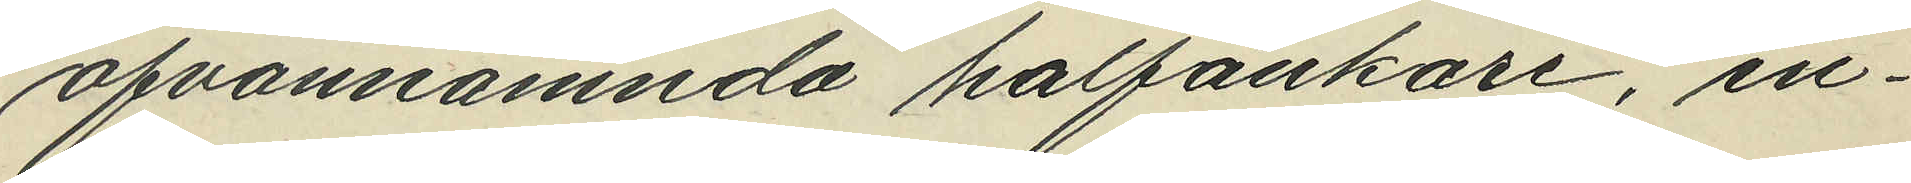ofvannämnda halfankare, in¬
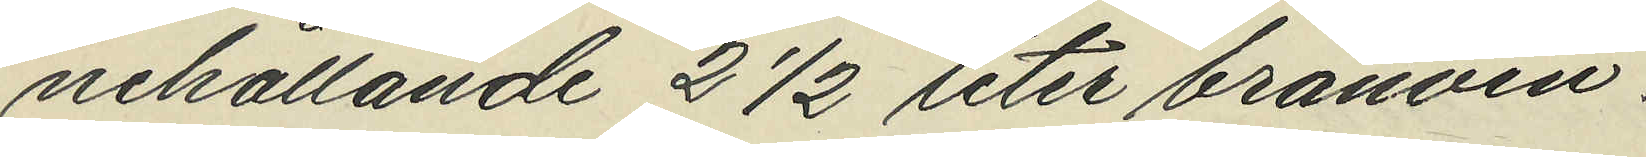nehållande 2 ½ liter bränvin.
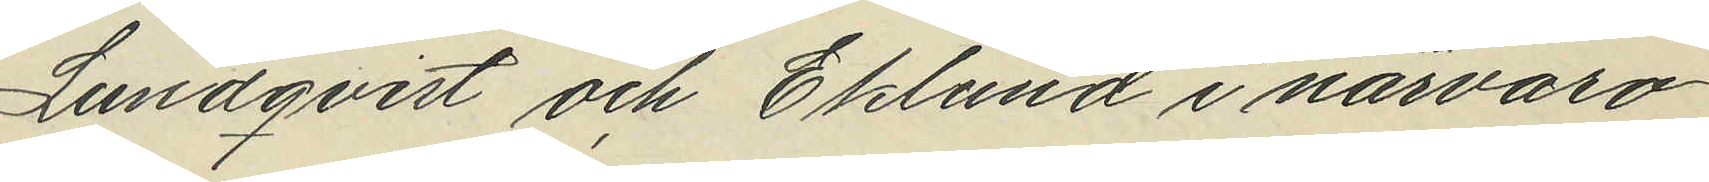Lundqvist och Eklund i närvaro
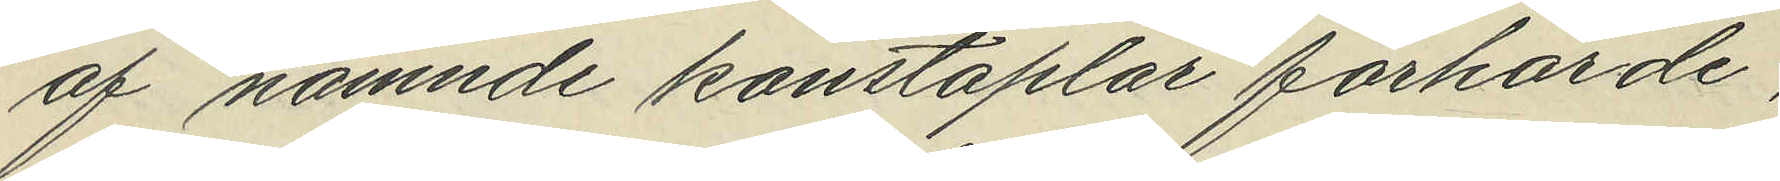af nämnde konstaplar förhörde,
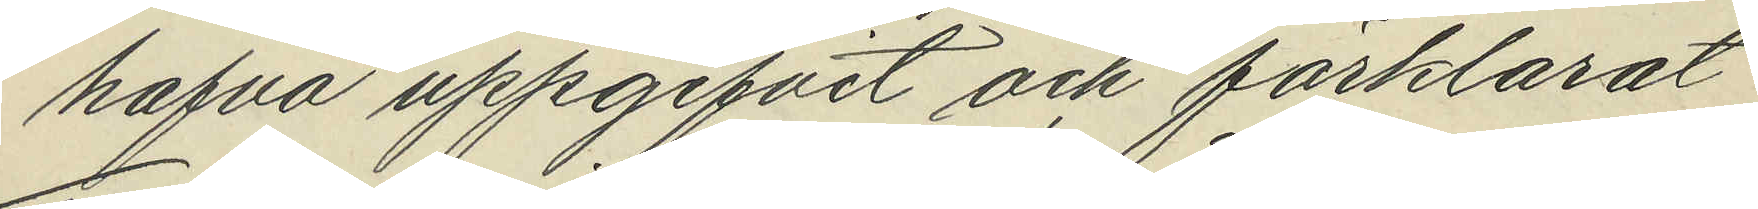hafva uppgifvit och förklarat
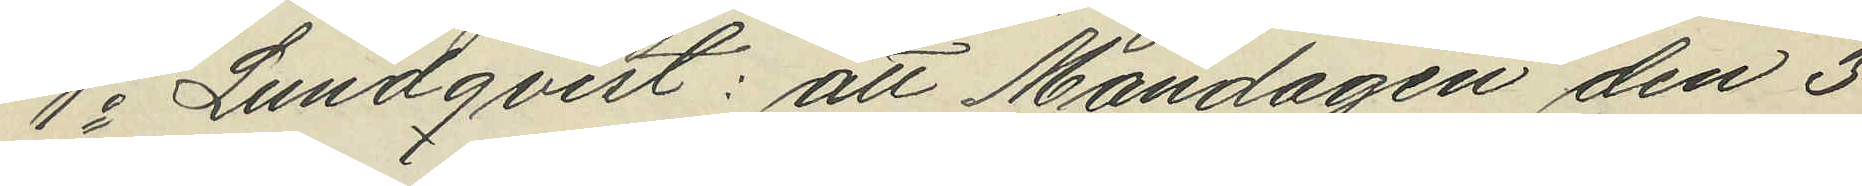1o Lundqvist: att Måndagen den 3
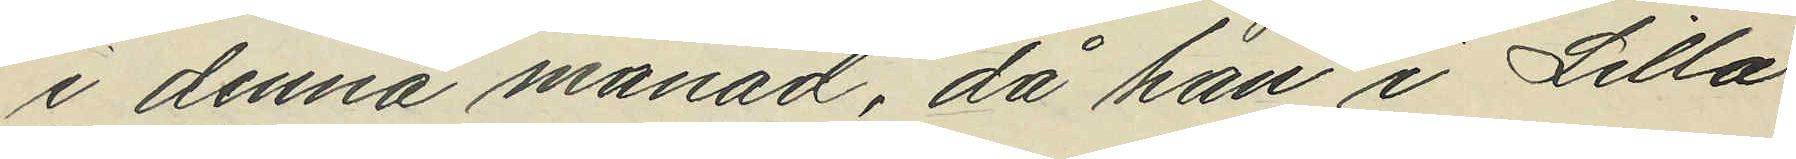i denna månad, då han i Lilla
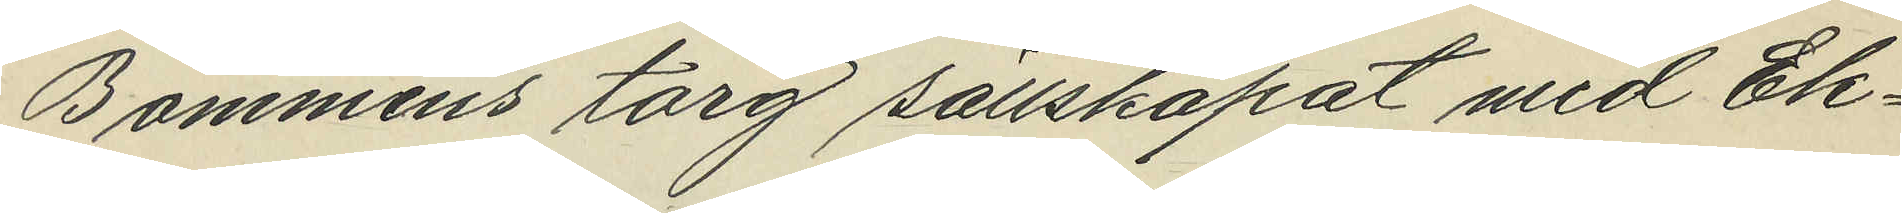Bommens torg sällskapat med Ek¬
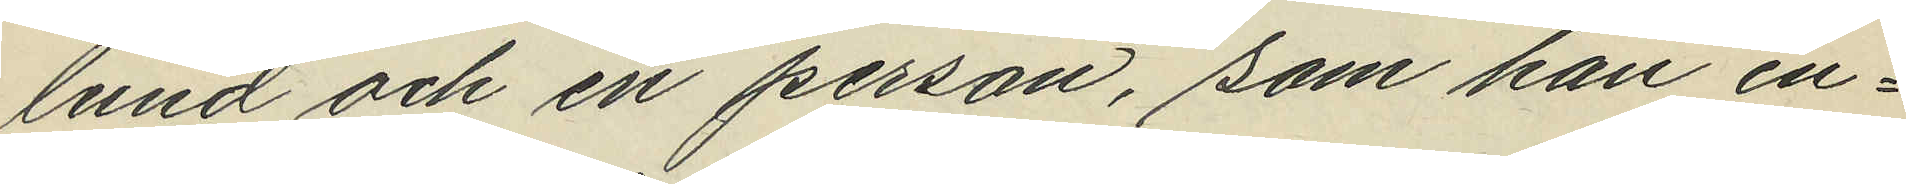lund och en person, som han en¬
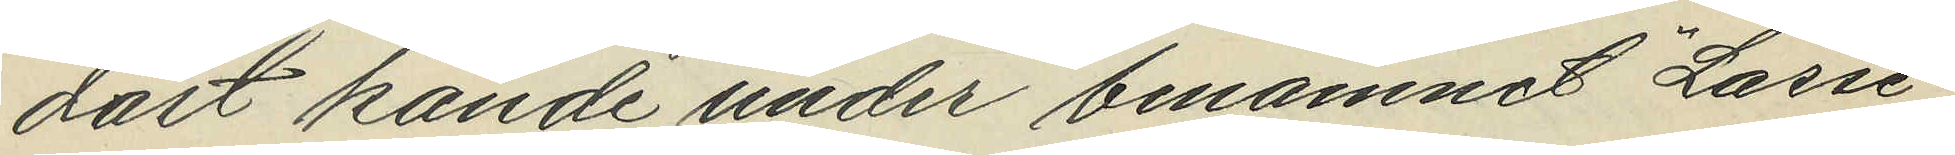dast kände under binamnet "Lasse",
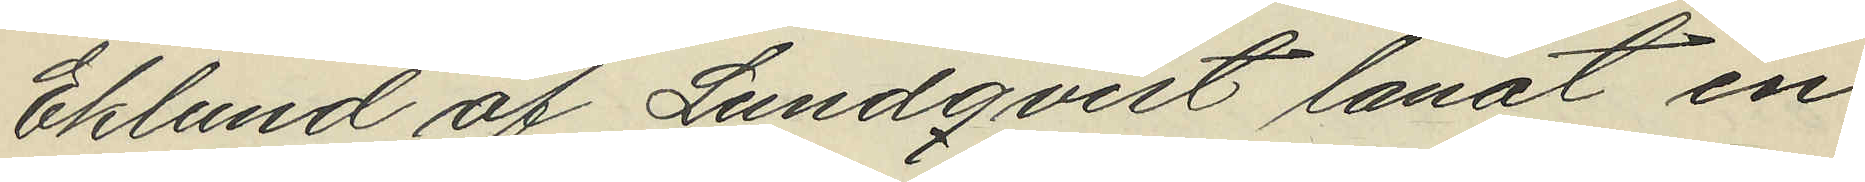Eklund af Lundqvist lånat en
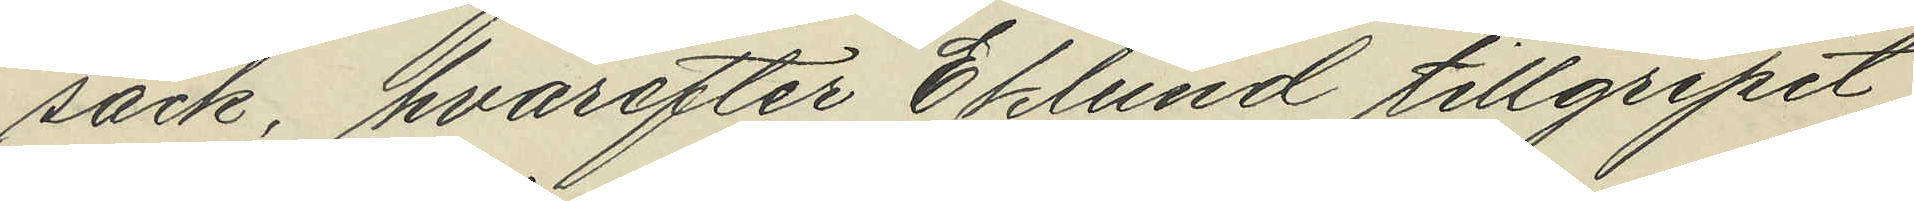säck, hvarefter Eklund tillgripit
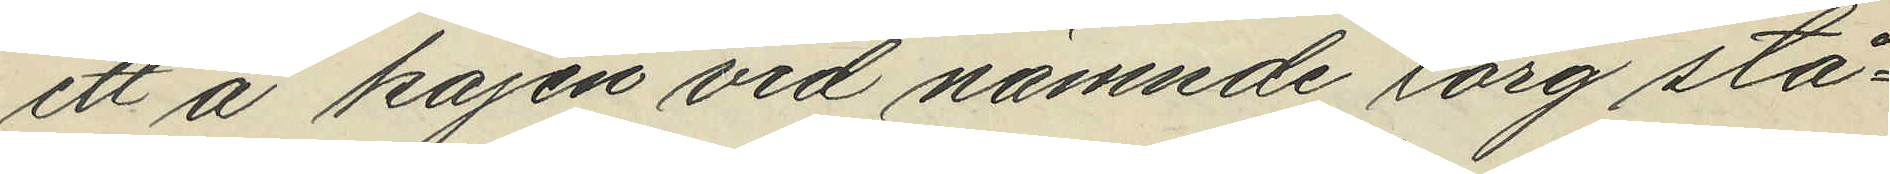ett å kajen vid nämnde torg stå¬
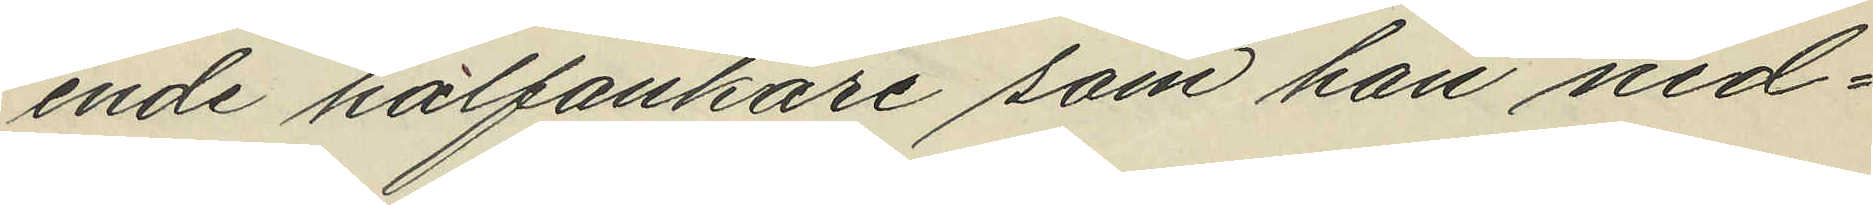ende halfankare som han ned¬
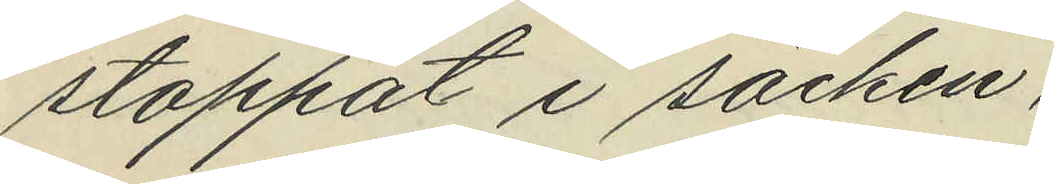stoppat i säcken,
